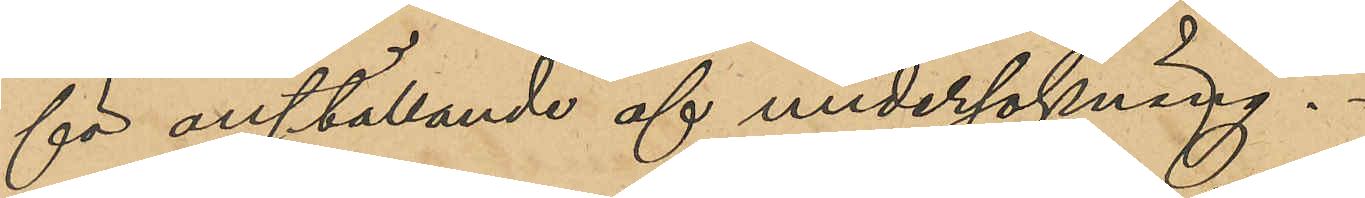för anställande af undersökning.
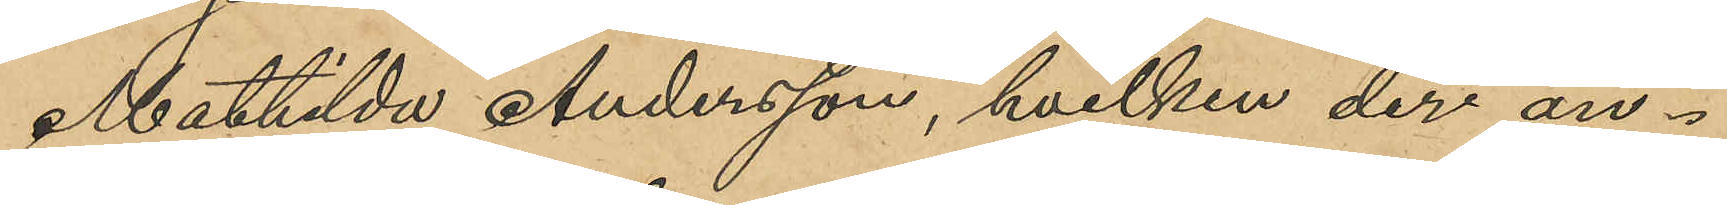Mathilda Andersson, hvilken der an¬
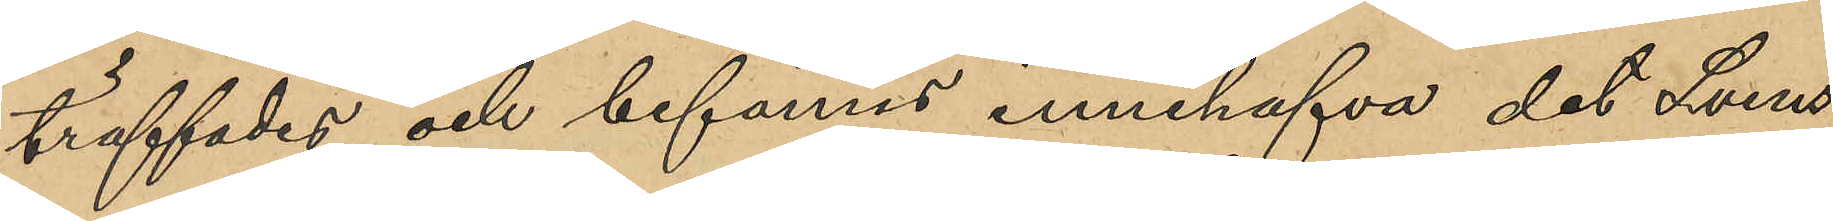träffades och befanns innehafva det Svens¬
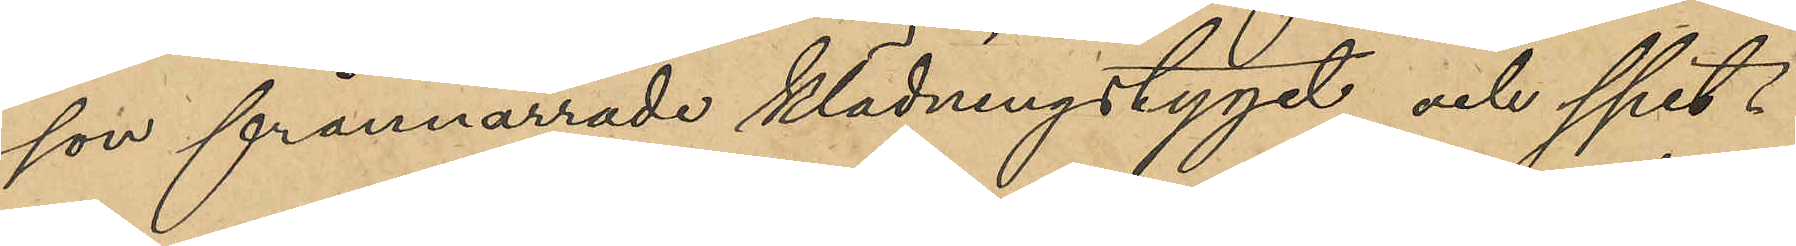son frånnarrade klädningstyget och spet¬
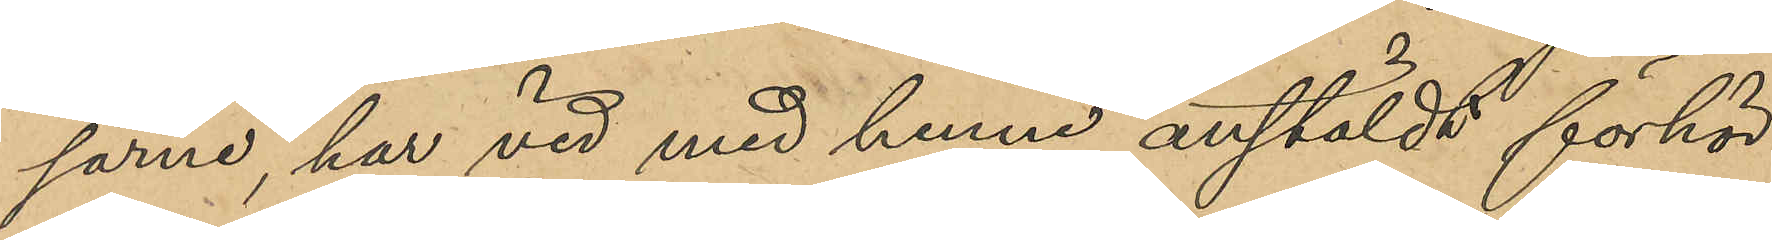sarne, har vid med henne anstäldt förhör
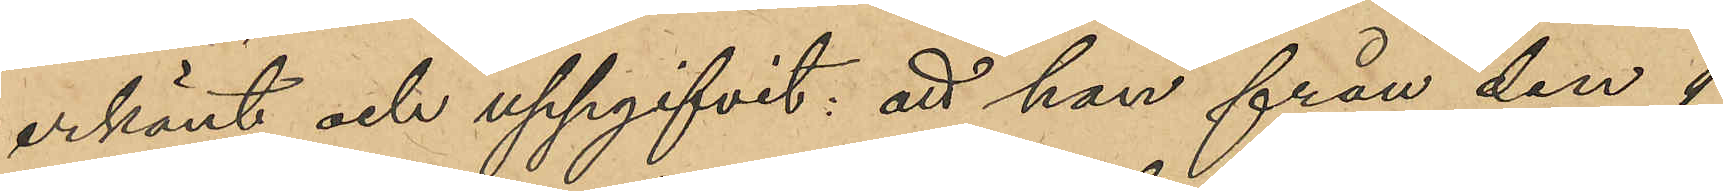erkänt och uppgifvit: att hon från den 1
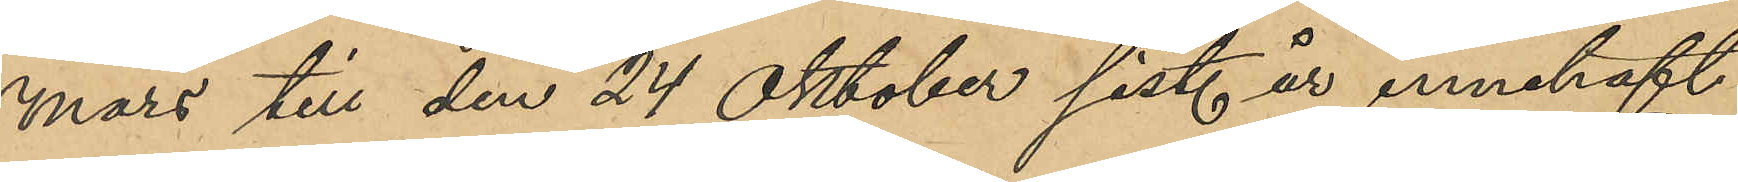mars till den 24 Oktober sist. år innehaft
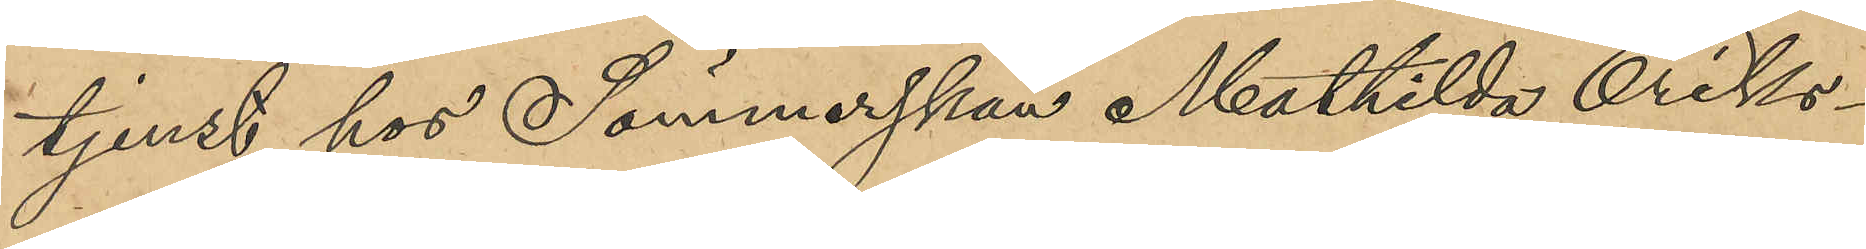tjenst hos Sömmerskan Mathilda Eriks¬
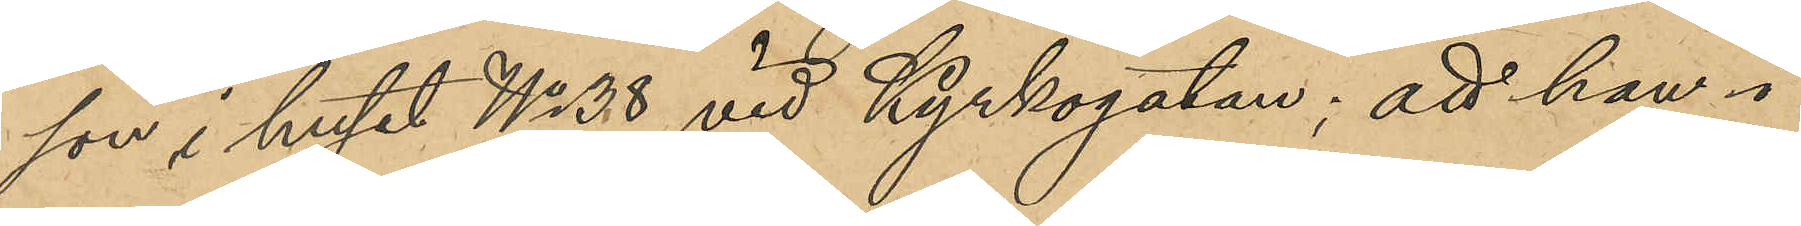son i huset No 38 vid Kyrkogatan; att hon i
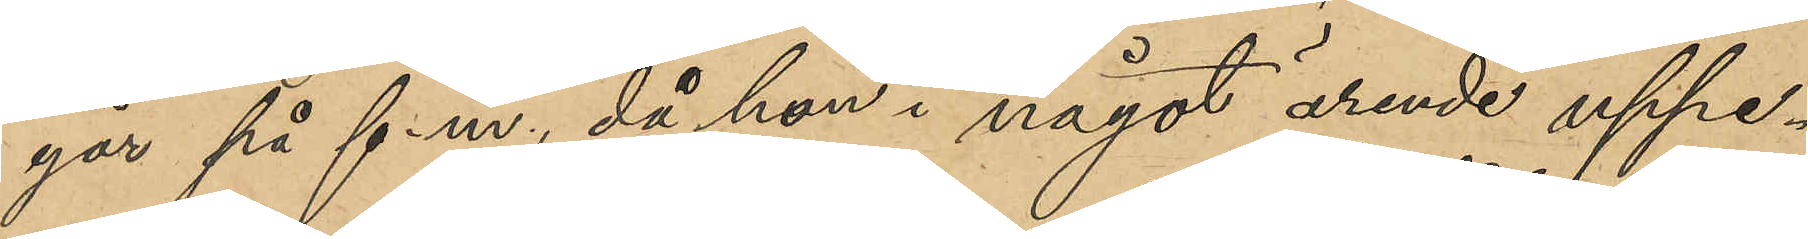går på f.m., då hon i något ärende uppe¬
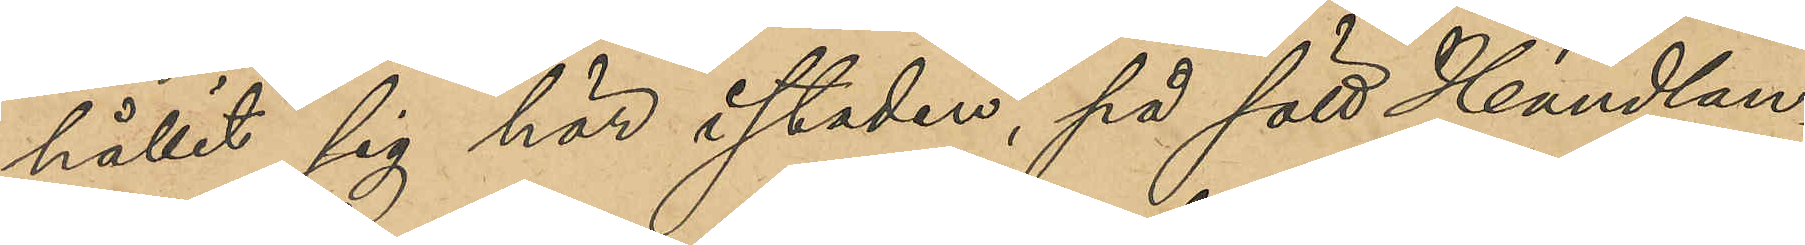hållit sig här i staden, på sätt Handlan¬
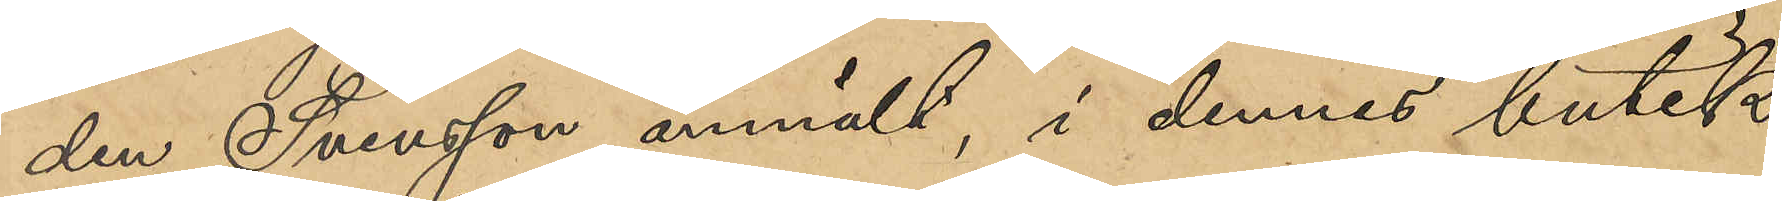den Svensson anmält, i dennes butik
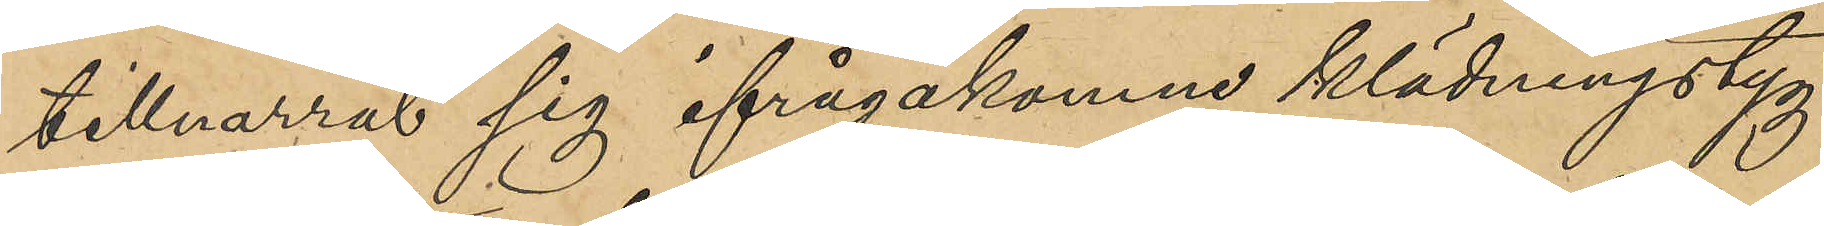tillnarrat sig ifrågakomne klädningstyg
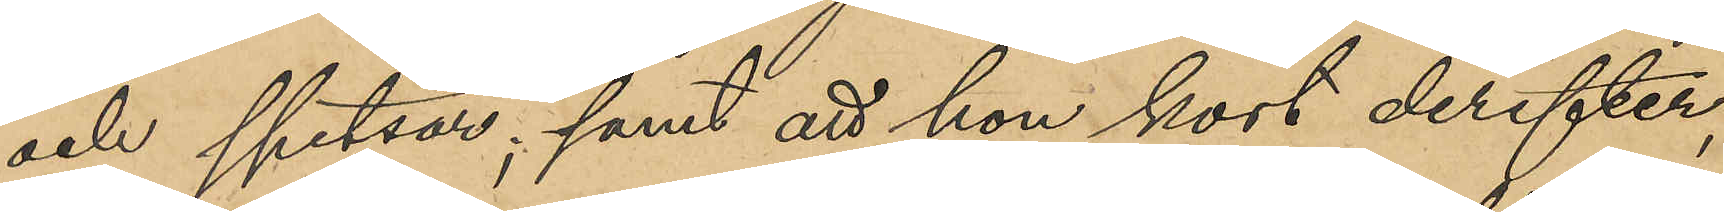och spetsar; samt att hon kort derefter,
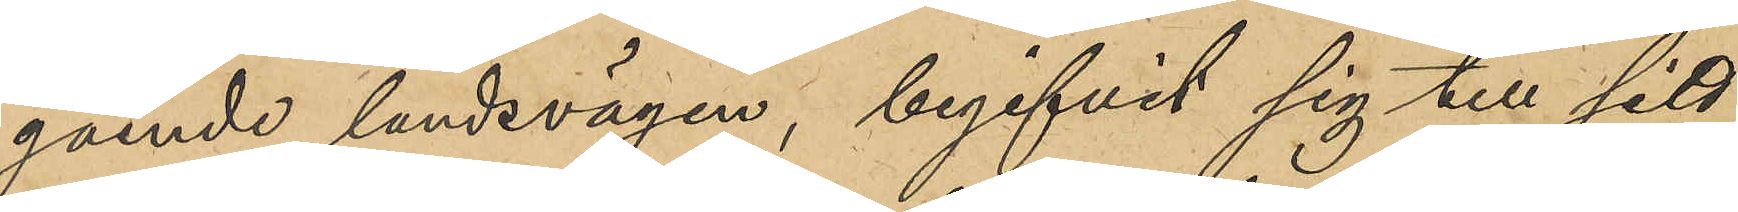gående landsvägen, begifvit sig till sitt
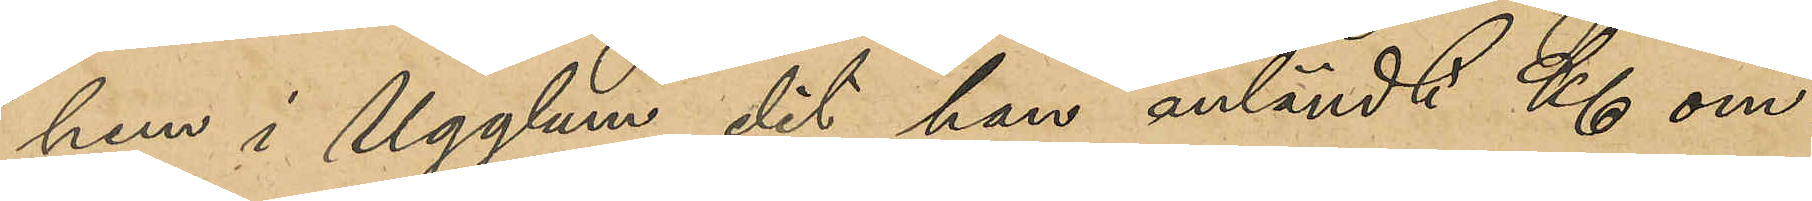hem i Ugglum, dit hon anländt Kl om¬
